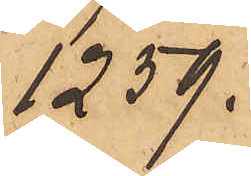1259.
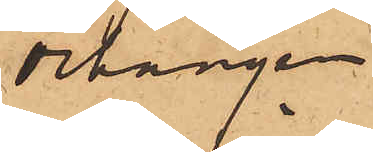örhängen
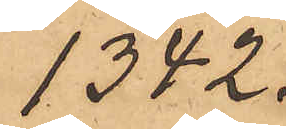1342.
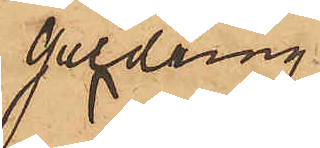guldring
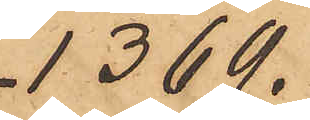1369.
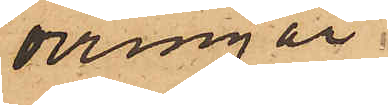örringar
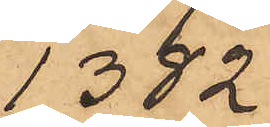1382
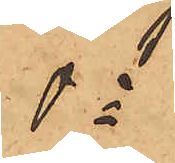do
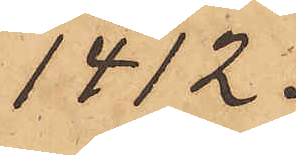1412.
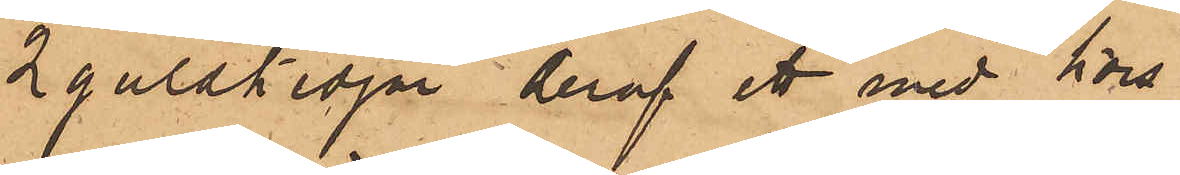2 guldkedjor, deraf ett med kors
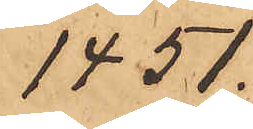1451.
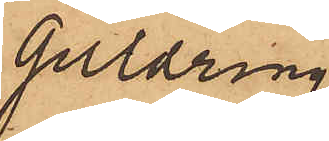guldring
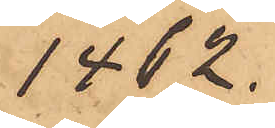1462.
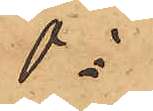do
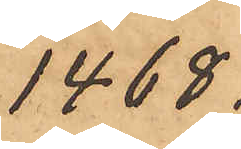1468.
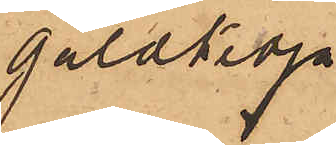guldkedja
